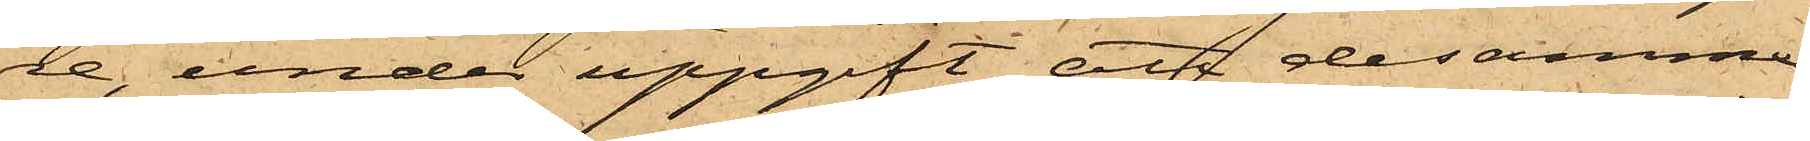re, under uppgift att desamme
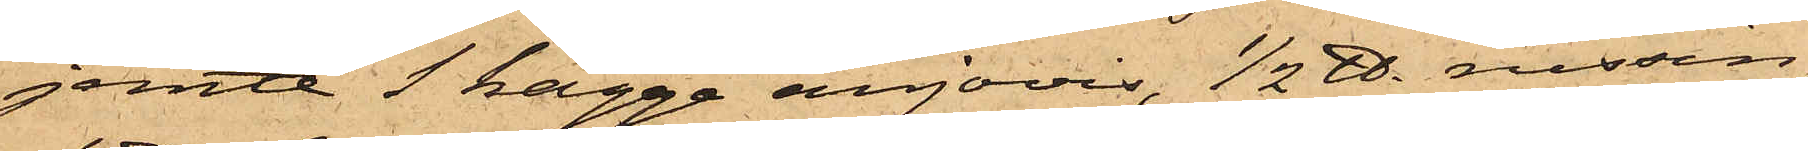jemte 1 kagge anjovis, 1/2 ℔. russin,
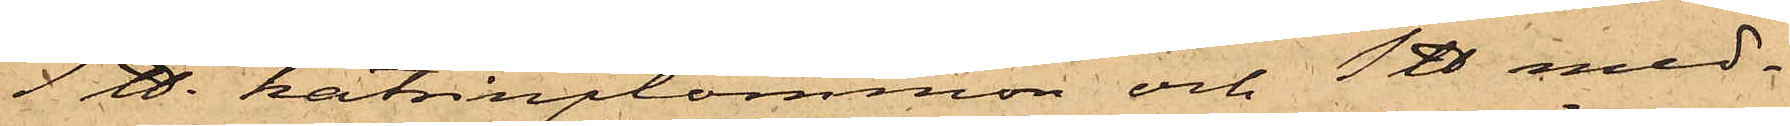1 ℔. katrinplommon och 1 ℔ med¬
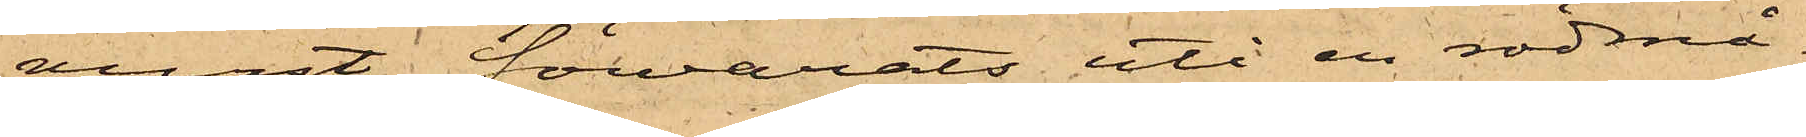vurst förvarats uti en rödmå¬
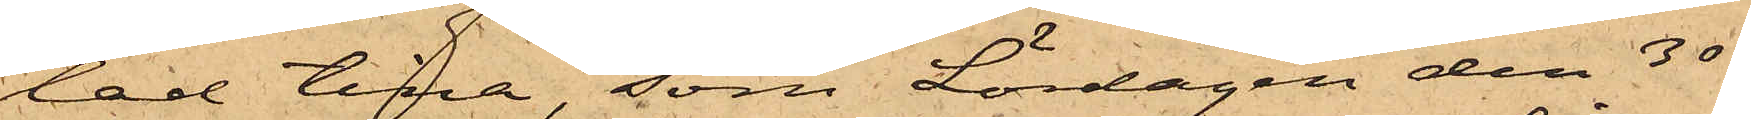lad tina, som Lördagen den 30
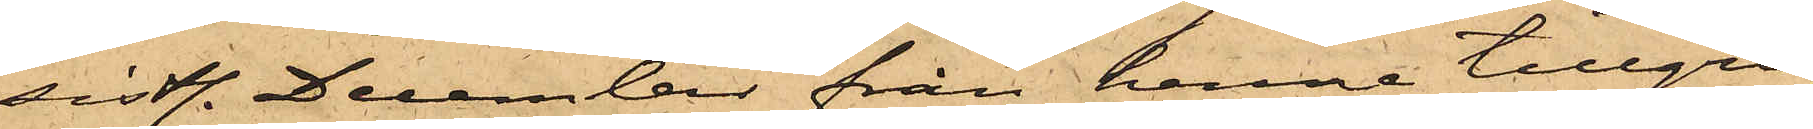sistl. December från henne tillgri¬
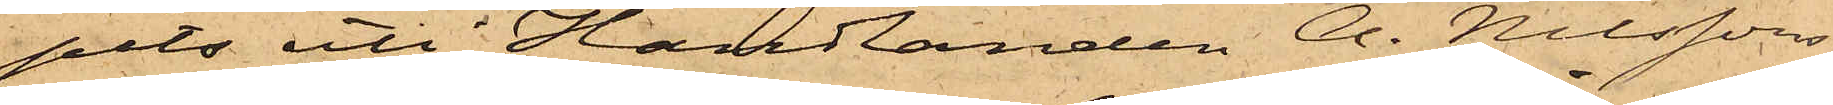pits uti Handlanden A. Nilssons
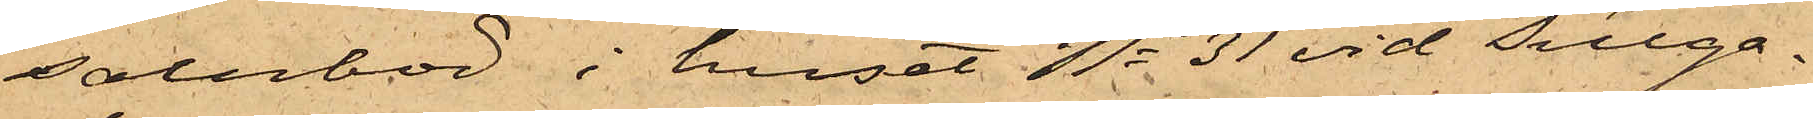salubod i huset No 31 vid Sillga¬
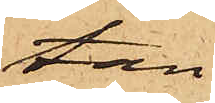tan.
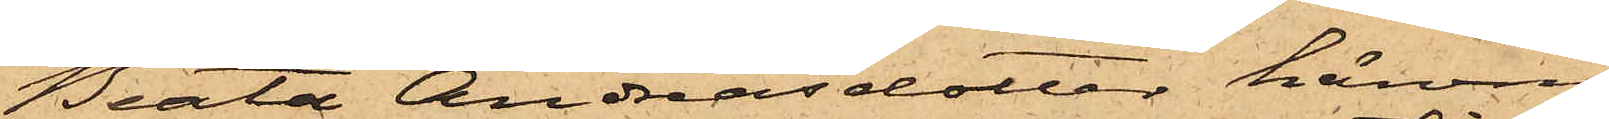Beata Andreasdotter härom
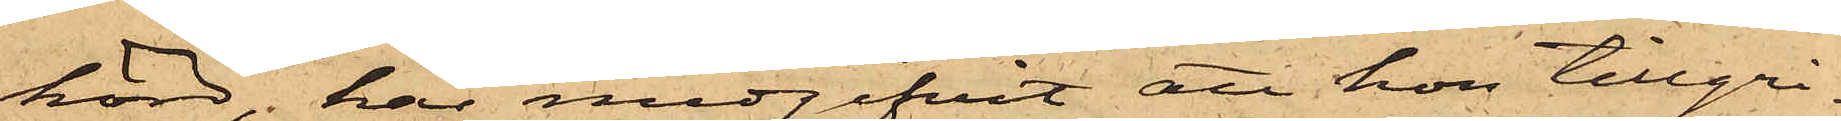hörd, har medgifvit, att hon tillgri¬
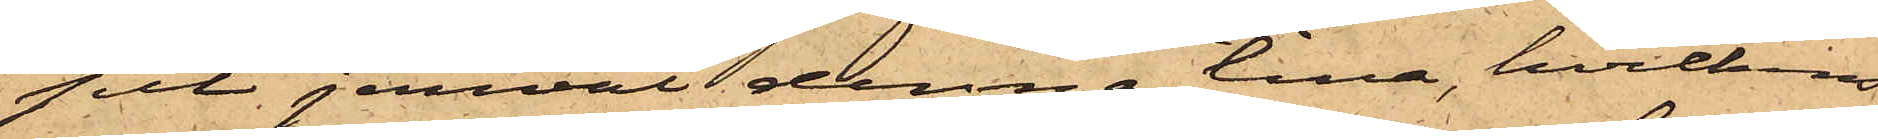pit jemväl denna tina, hvilkens
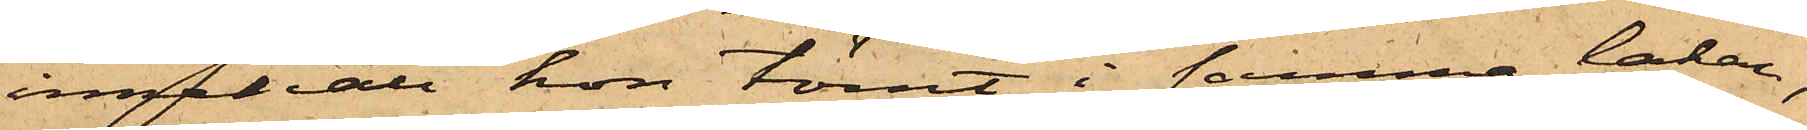innehåll hon tömt i samma lakan,
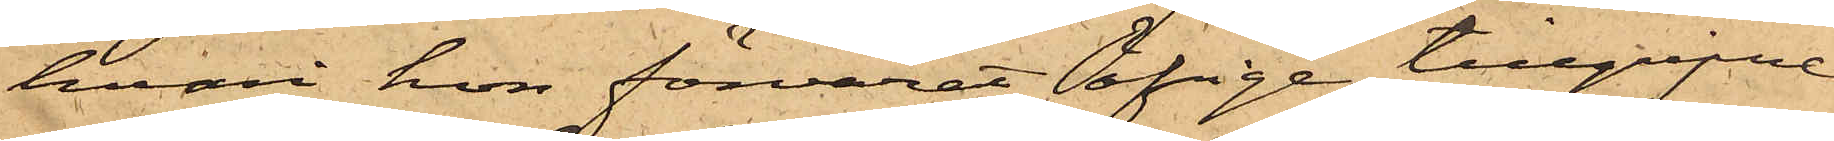hvari hon förvarat öfrige tillgripne
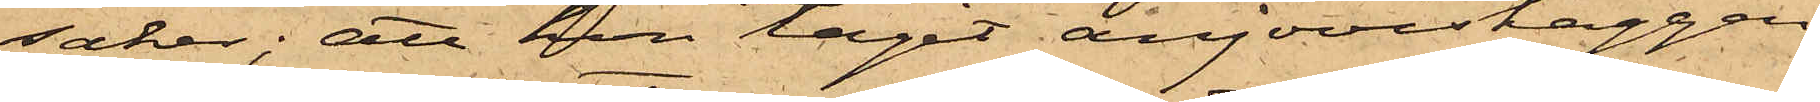saker; att hon tagit anjoviskaggen
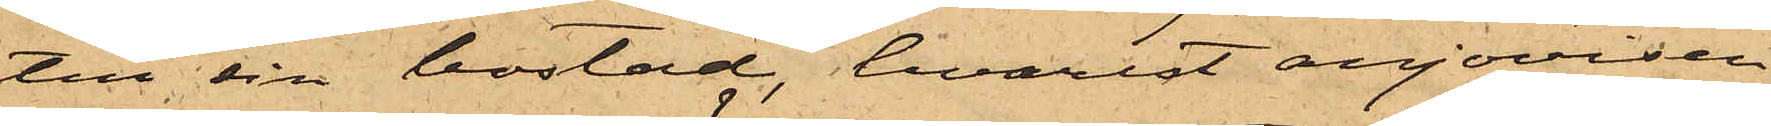till sin bostad, hvarest anjovisen
